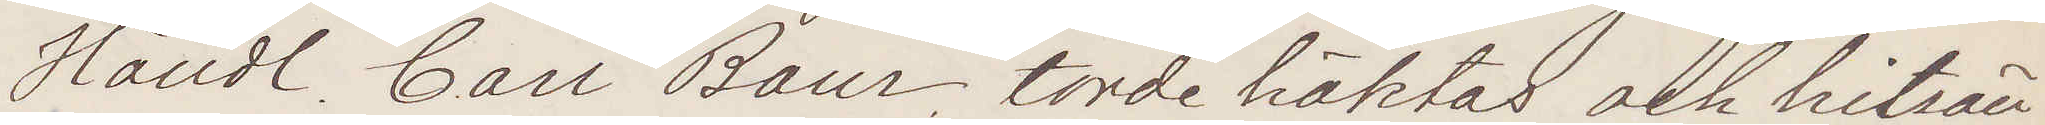Handl. Carl Baur. torde häktas och hitsän¬
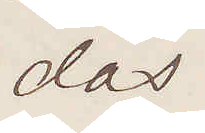das.
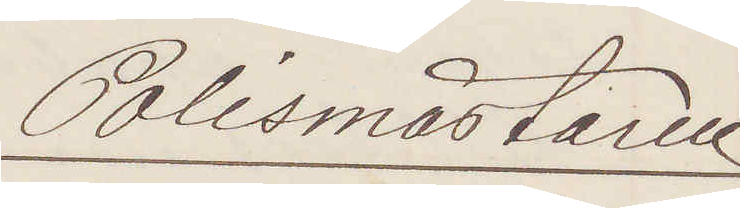Polismästaren
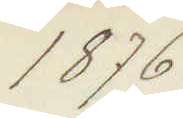1876.
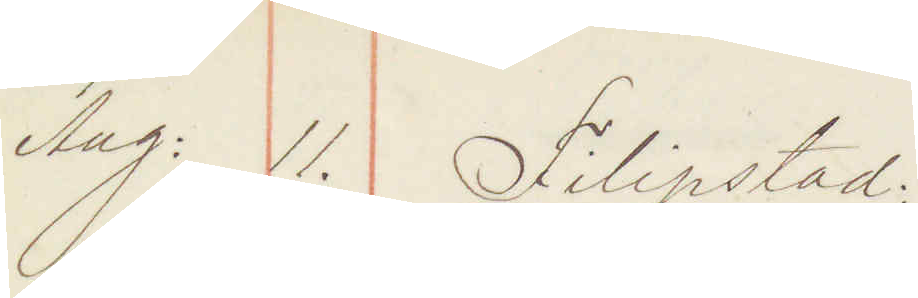Aug: 11. Filipstad:
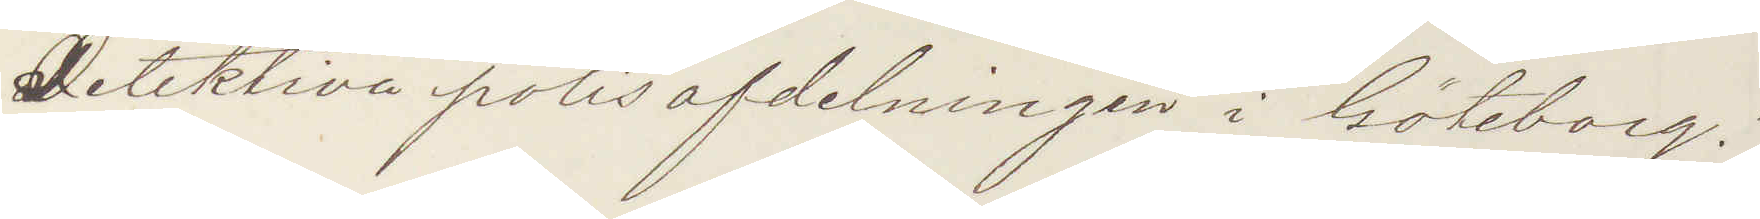Detektiva polisafdelningen i Göteborg!
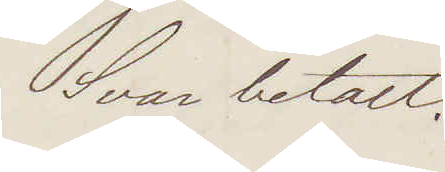Svar betalt.
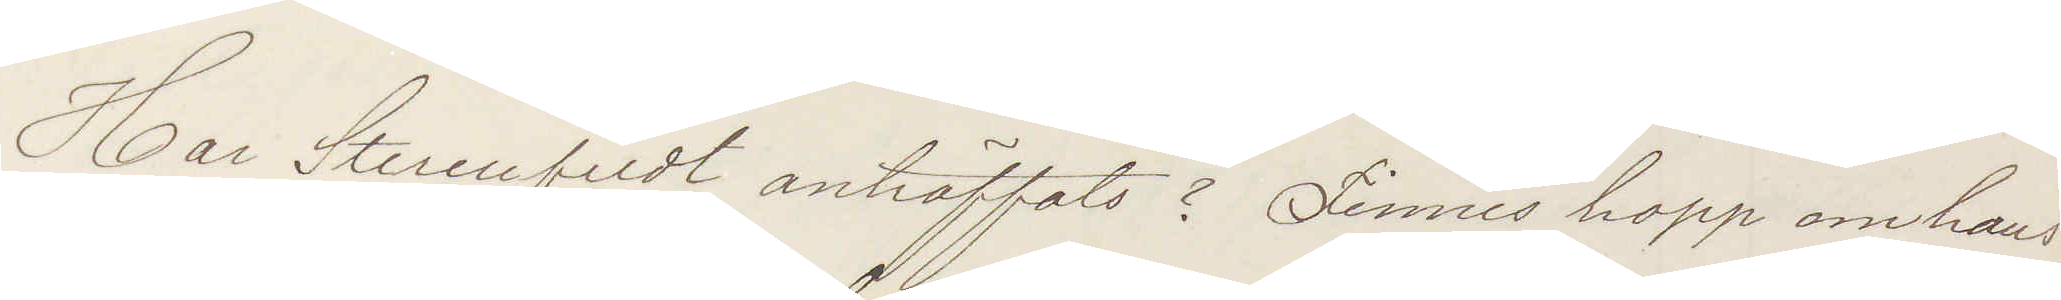Har Stermfeldt anträffats? Finnes hopp om hans
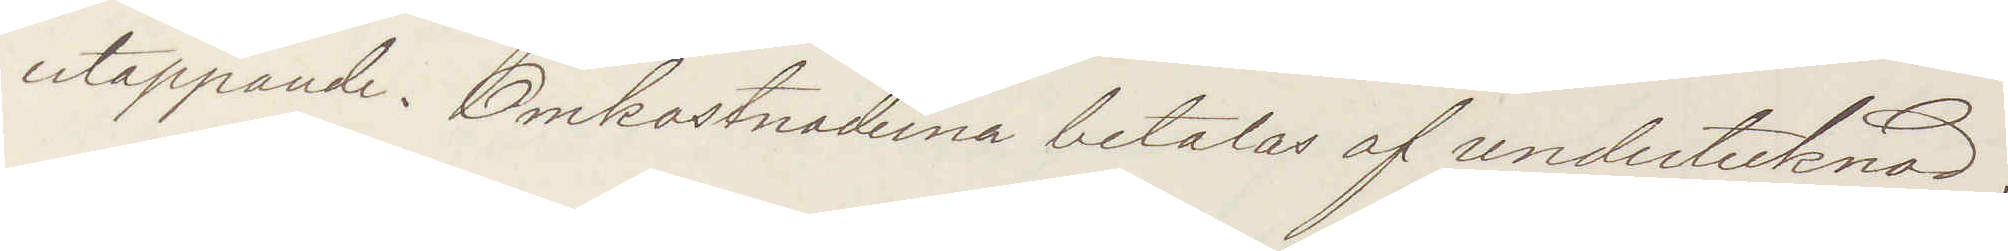ertappande. Omkostanderna betalas af undertecknad.
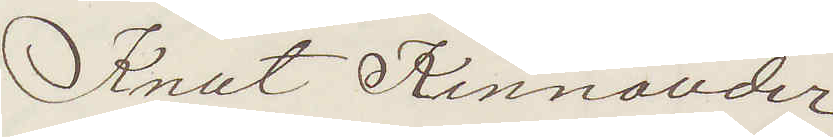Knut Kinnander
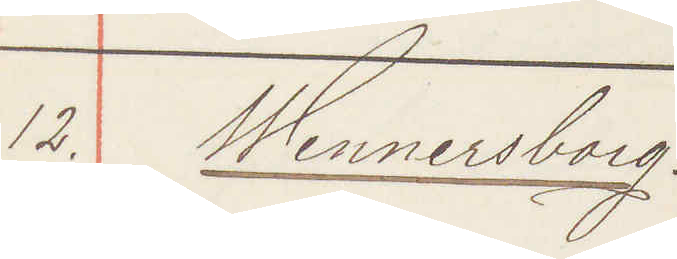12. Wennersborg:
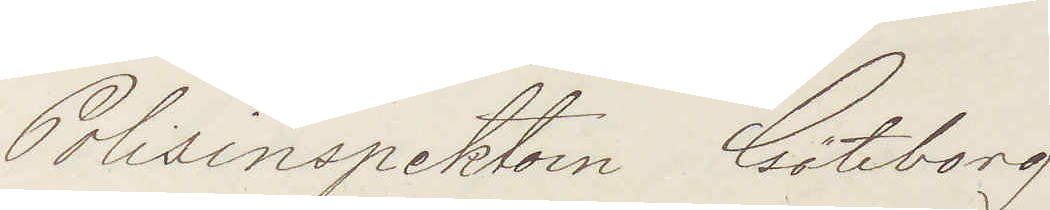Polisinspektorn Göteborg.
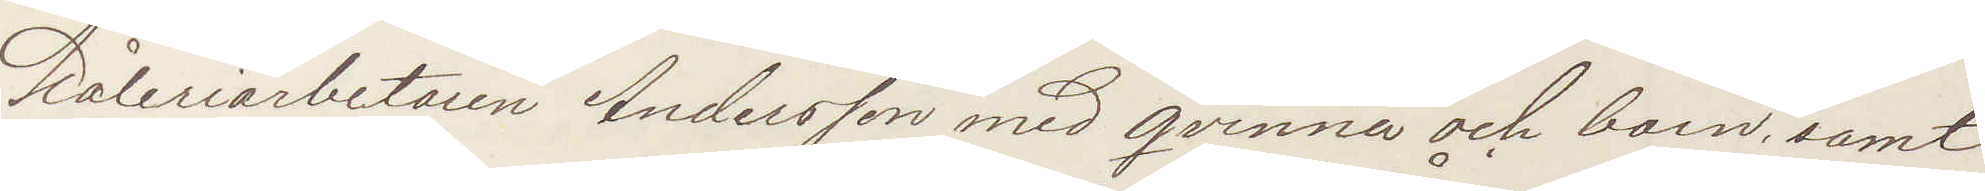Måleriarbetaren Andersson med qvinna och barn, samt
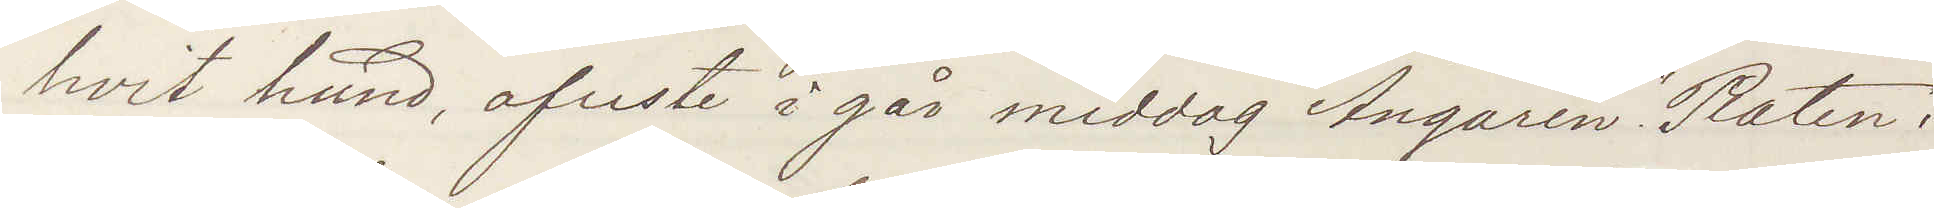hvit hund, afreste i går middag Ångaren "Raten" i
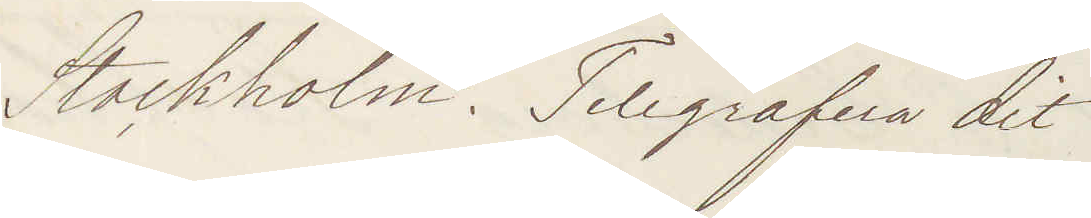Stockholm. Telegrafera dit!
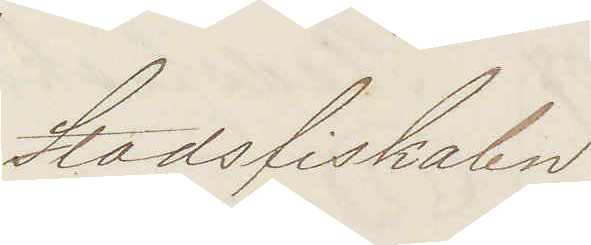Stadsfiskalen
